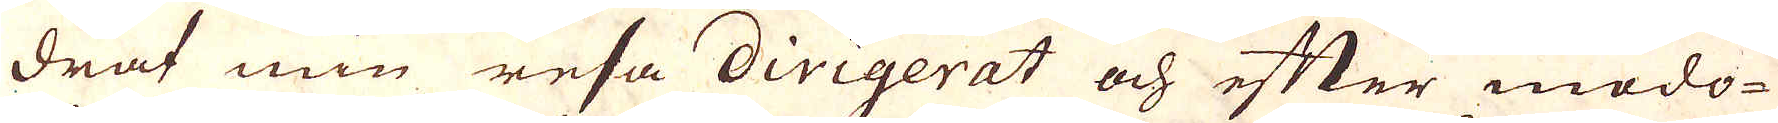drat min resa dirigerat och efter modo-
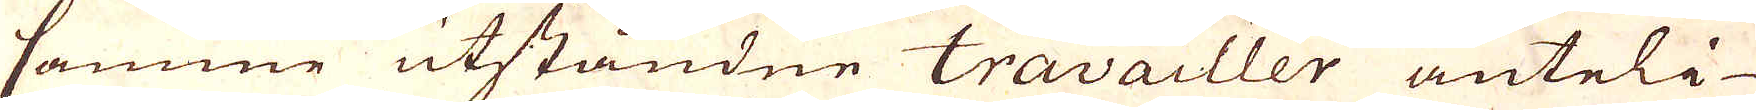samme utståndne travailler änteli-
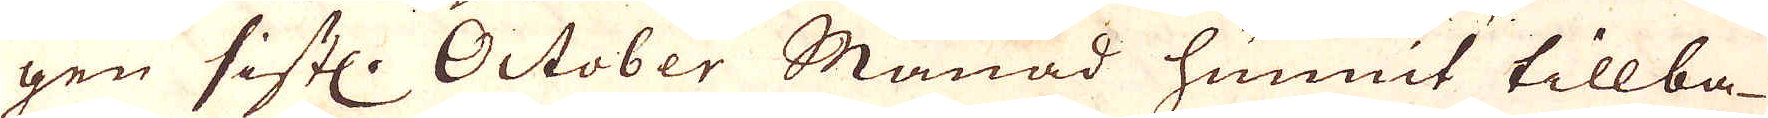gen sistl. October Månad hunnit tillba-
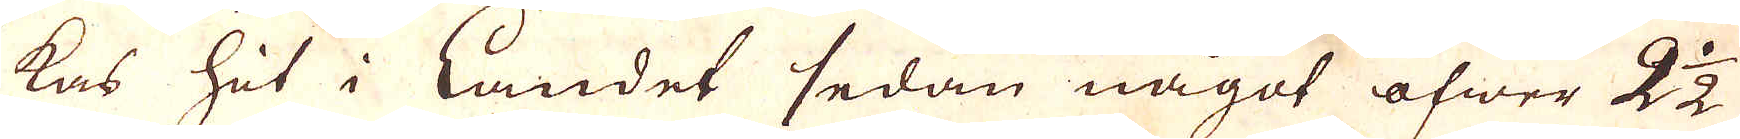kas hit i Landet sedan något öfwer 2 1/2
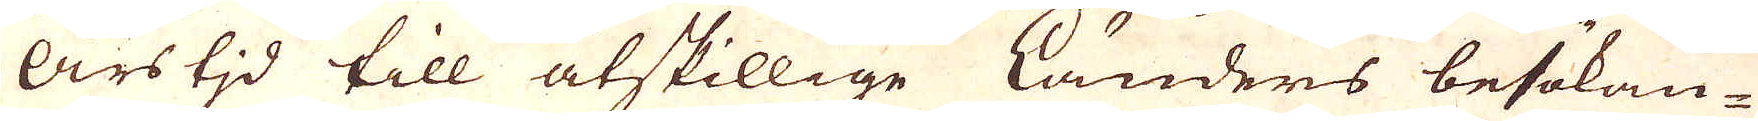Års tid till åtskillige länders besökan-
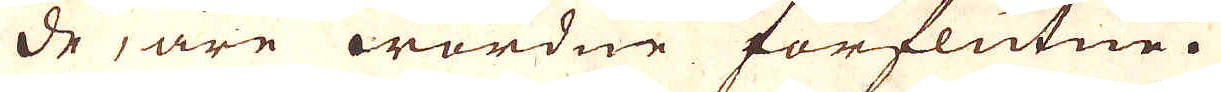de, äre wardne förflutne.
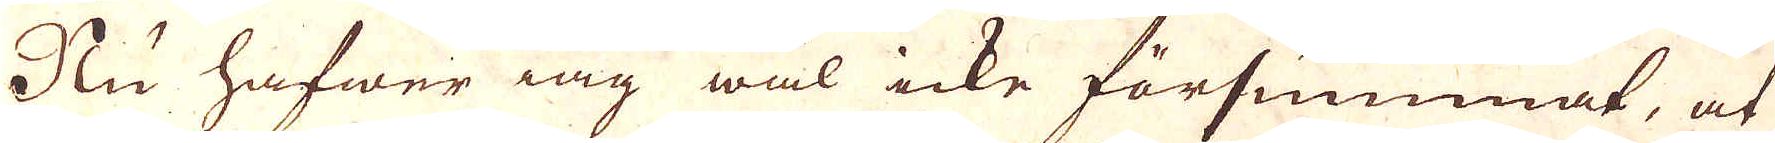Nu hafwer iag wäl icke försummat, at
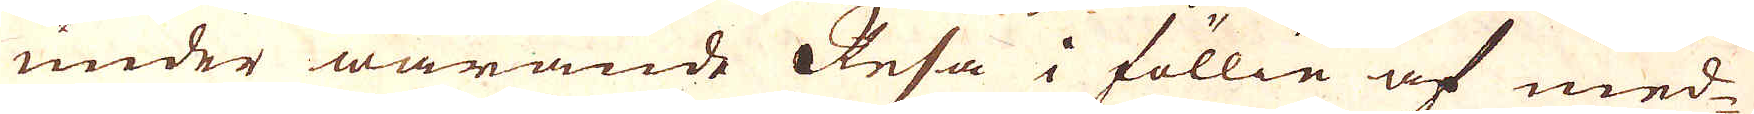under warande Resa i föllie af med-
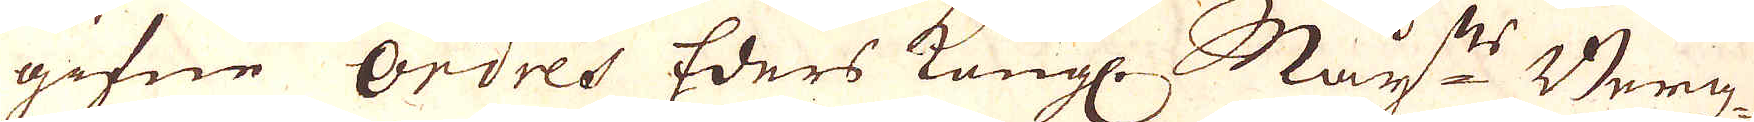gifne ordres Eders Kongl- May:ts Bergz
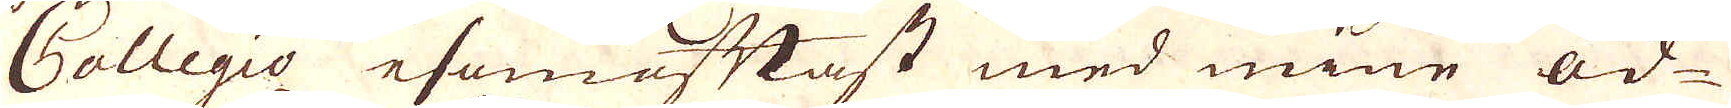Collegio esomoftast med mine öd-
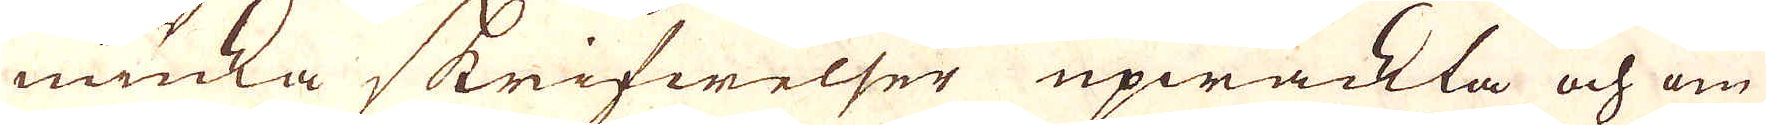muka skrifwelser upwäkta och om
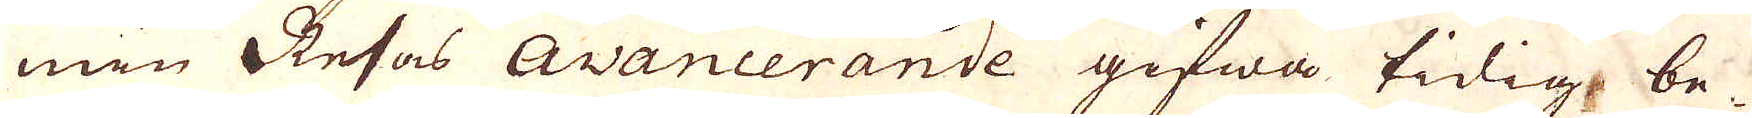min Resas avancerande gifwa tidig be-
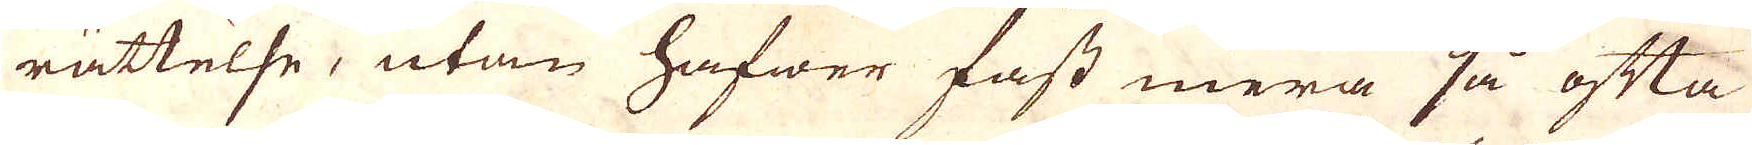rättelse, utan hafwer fast mera så ofta
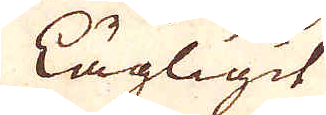lägligit
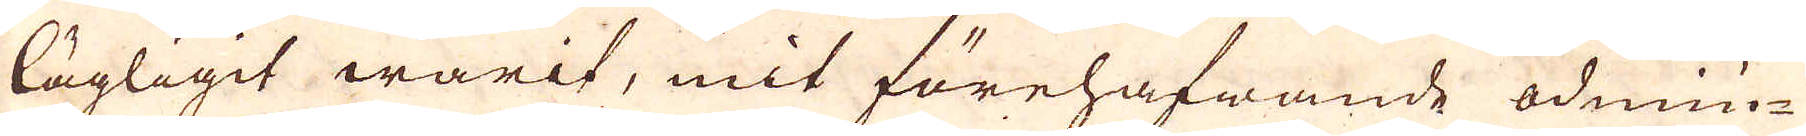lägligit warit, mit förehafwande ödmiu-
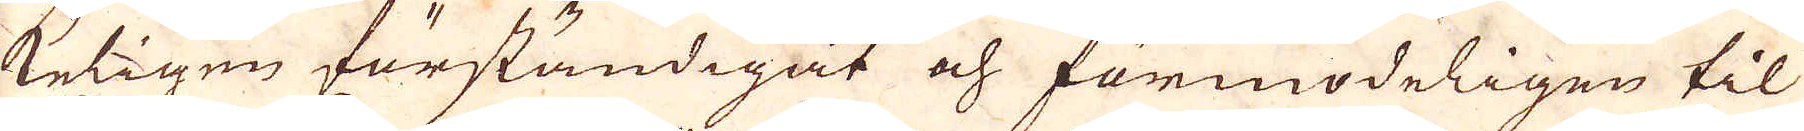keligen förständigat och förmodeligen til
